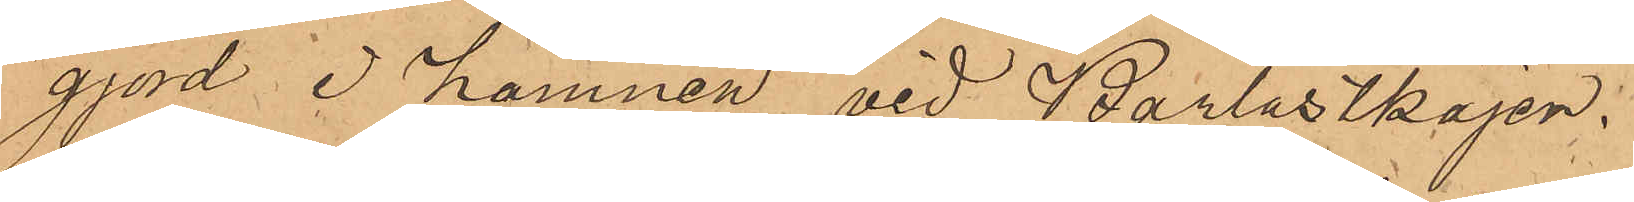gjord å hamnen vid Barlastkajen.
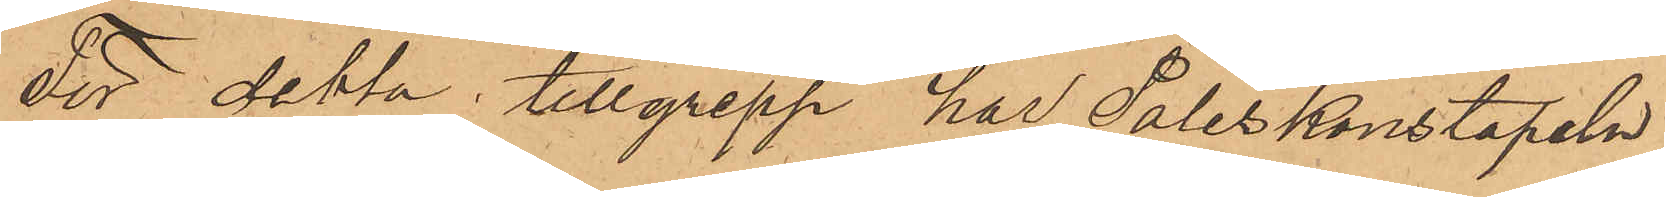För detta tillgrepp har Poliskonstapeln
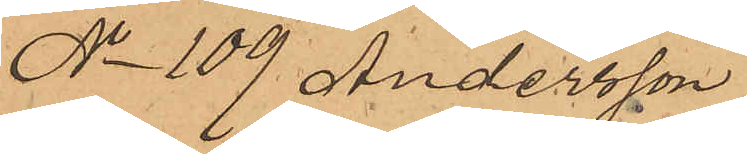No 109 Andersson
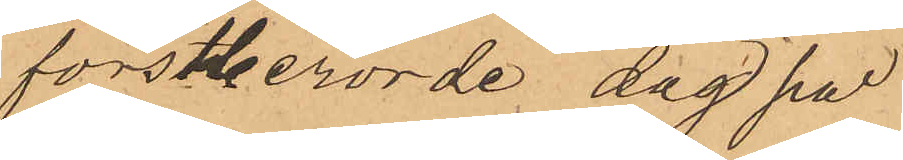förstberörde dag på
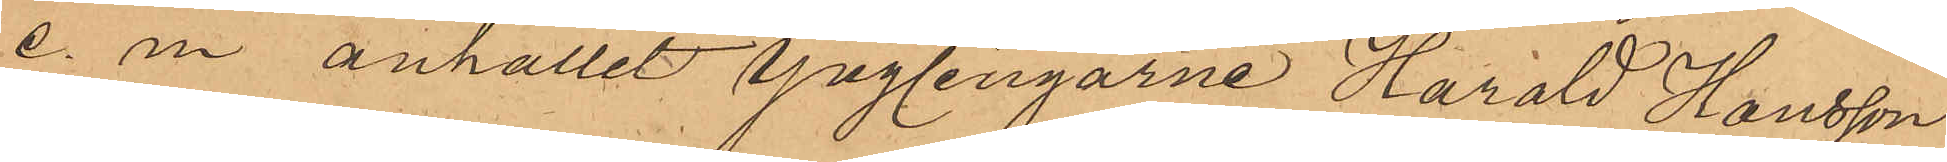e. m anhållit ynglingarne Harald Hansson
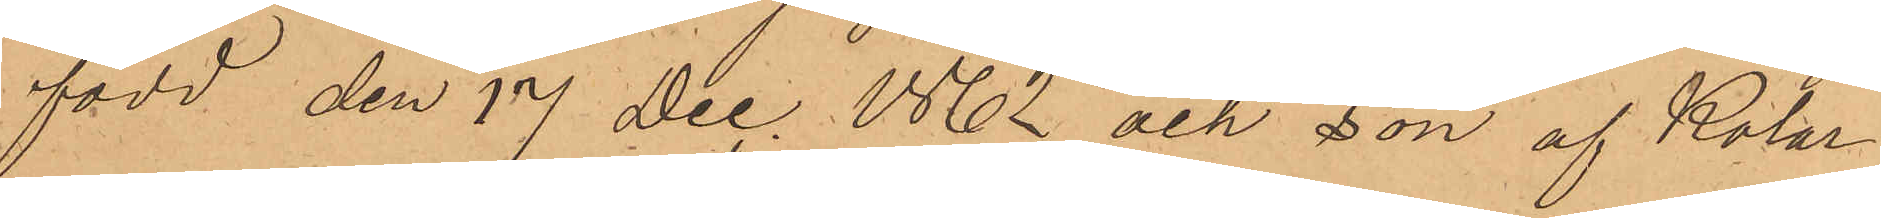född den 17 Dec. 1862 och son af Kolar¬
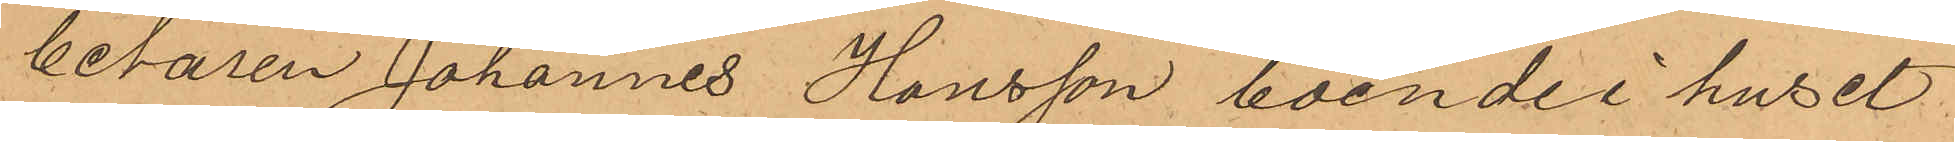betaren Johannes Hansson, boende i huset
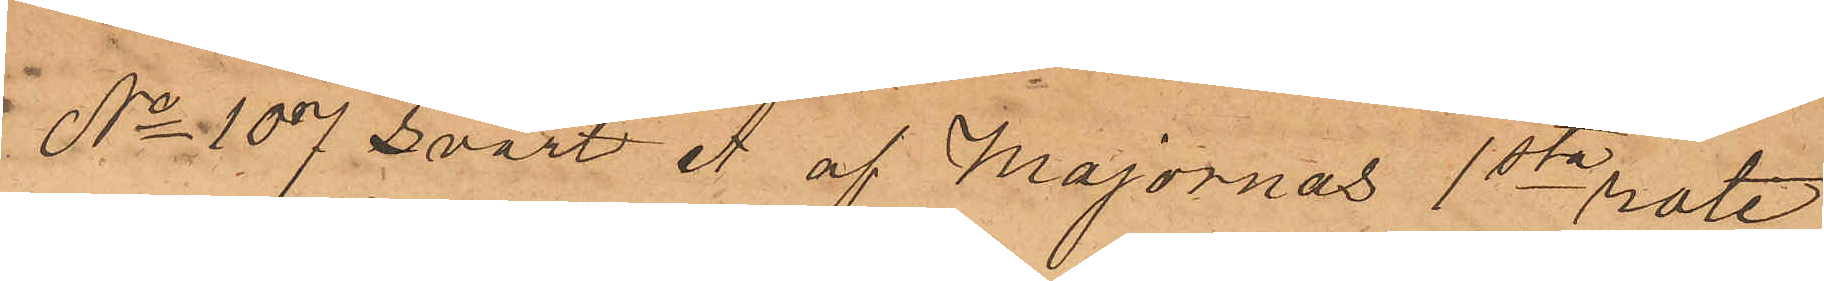No 107 Svart A af Majornas 1ste rote,
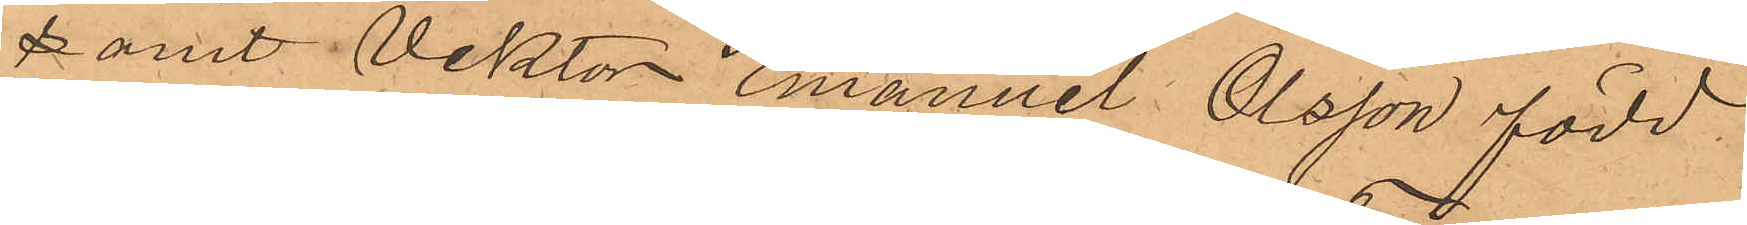samt Viktor Emanuel Olsson född
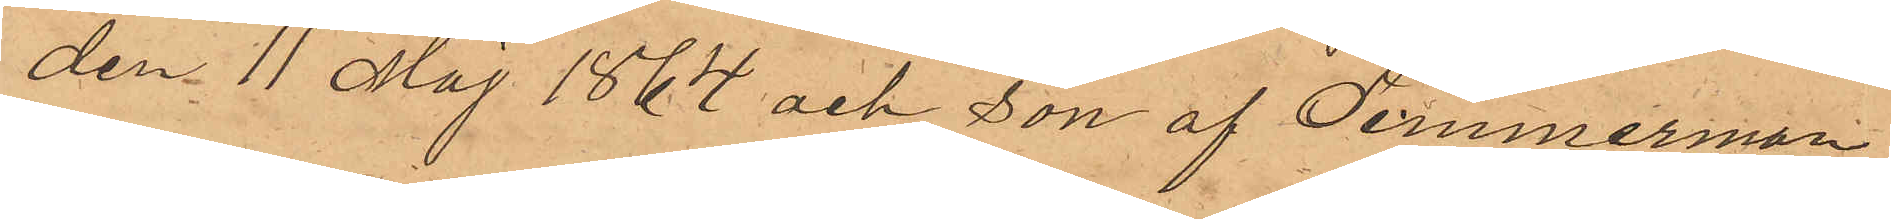den 11 Maj 1864 och son af Timmerman¬
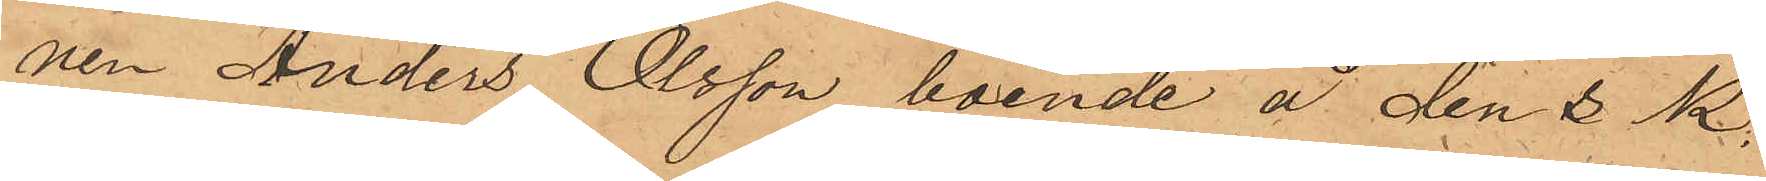nen Anders Olsson, boende å den s k.
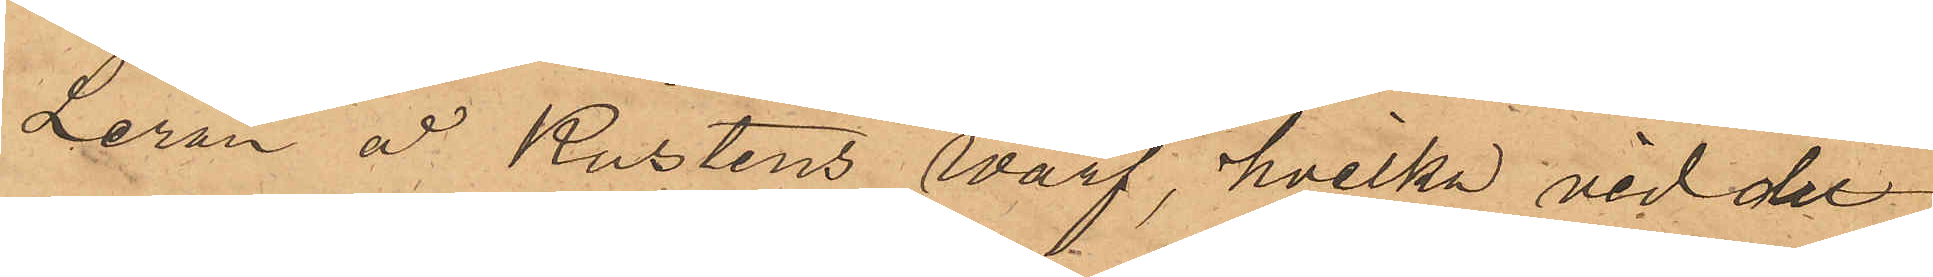Leran å Kustens warf, hvilka vid det
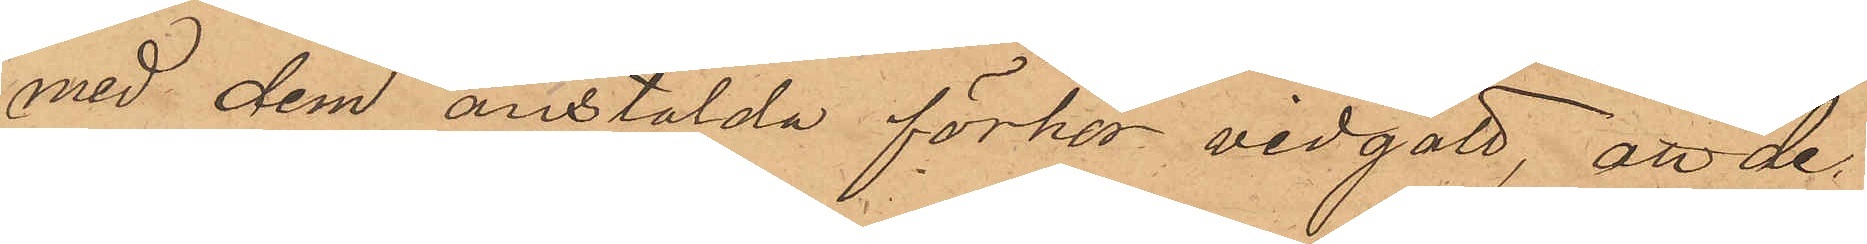med dem anstälda förhör vidgått, att de
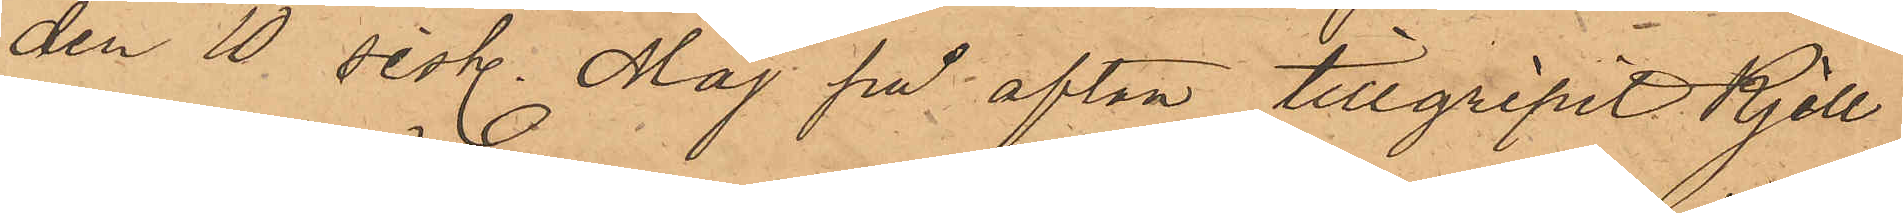den 10 sistl. Maj på afton tillgripit Kjell¬
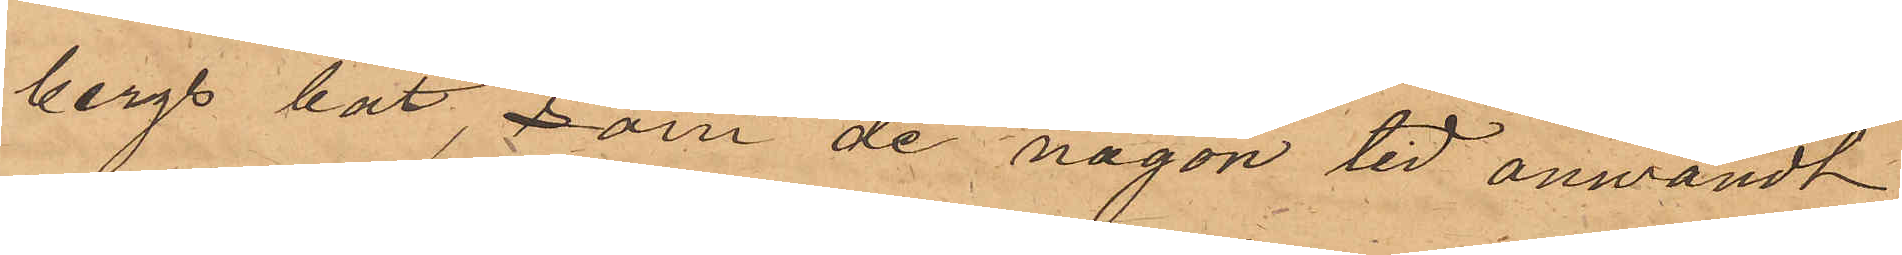bergs båt, som de någon tid användt
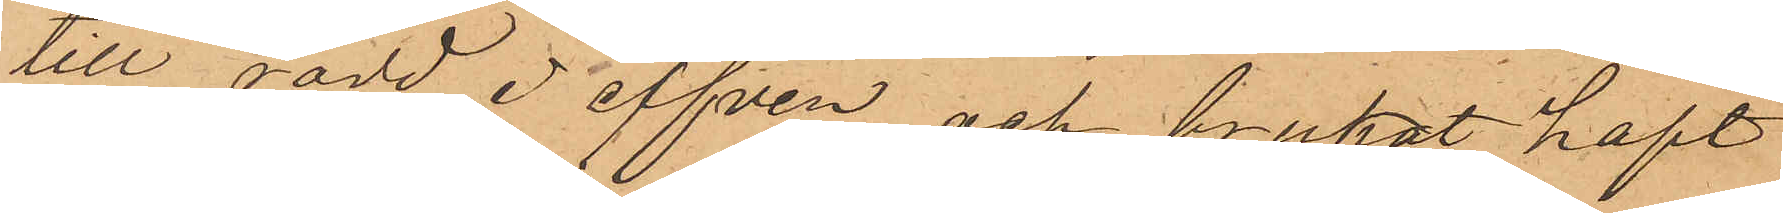till rodd i elfven och brukat haft
